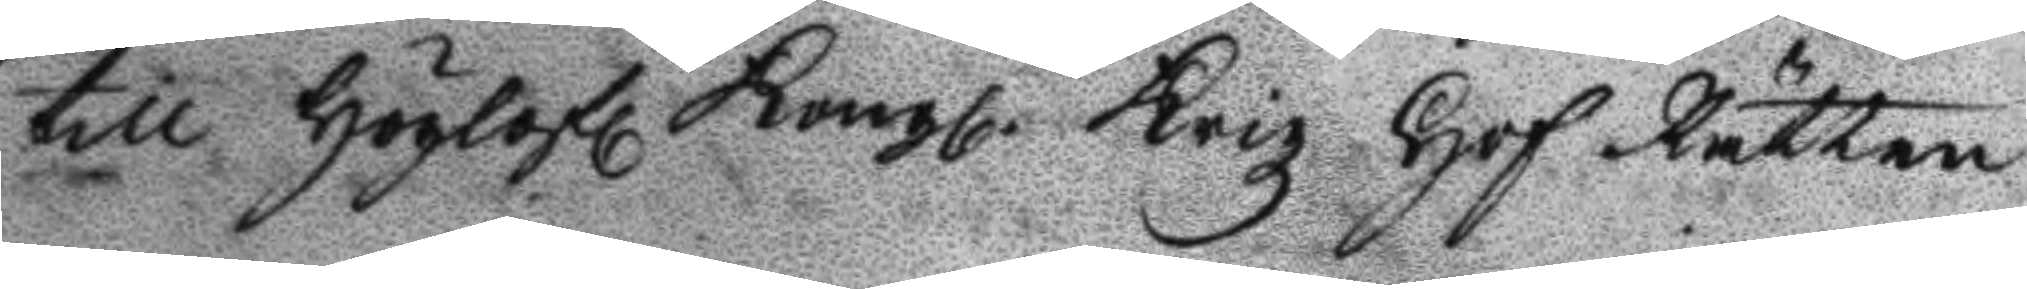till Höglofl Kongl. Krigz Hof Rätten
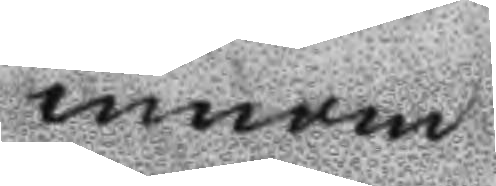innom
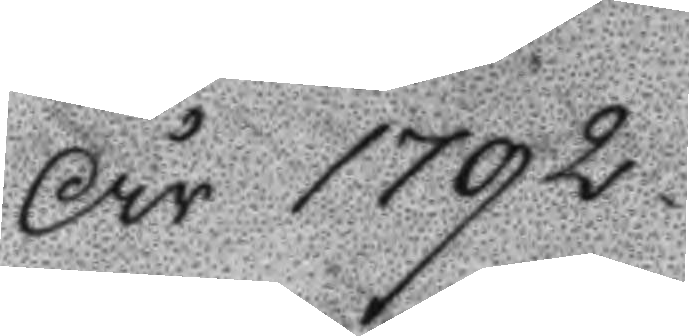År 1792
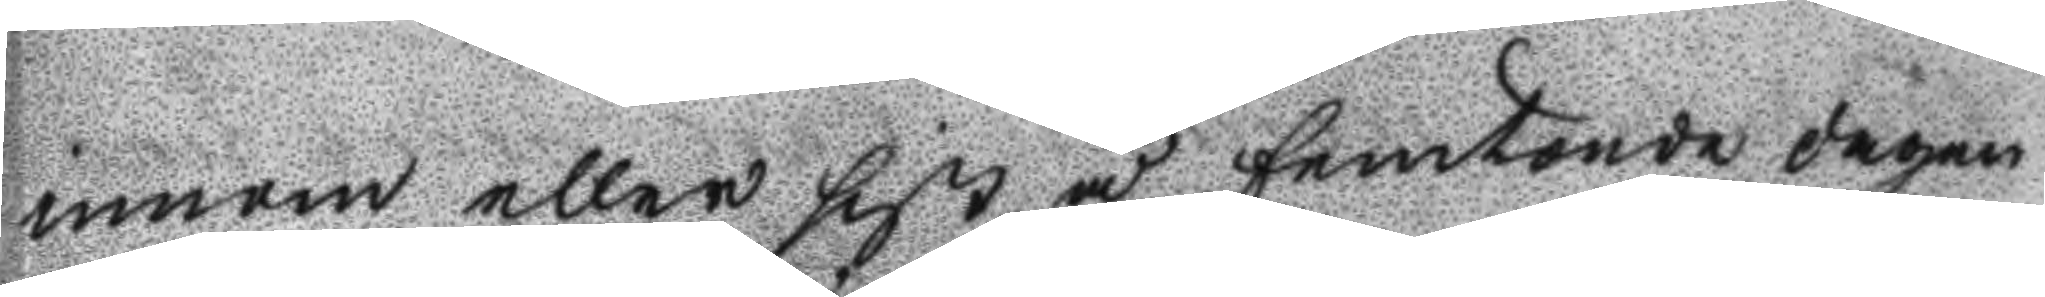innom eller sist å femtonde dagen
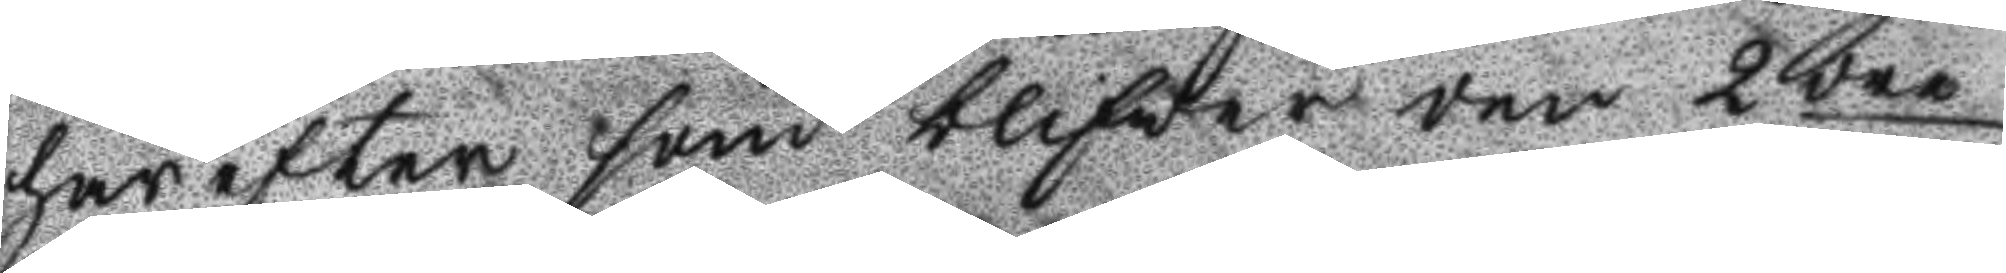här efter som blifwer den 2dre
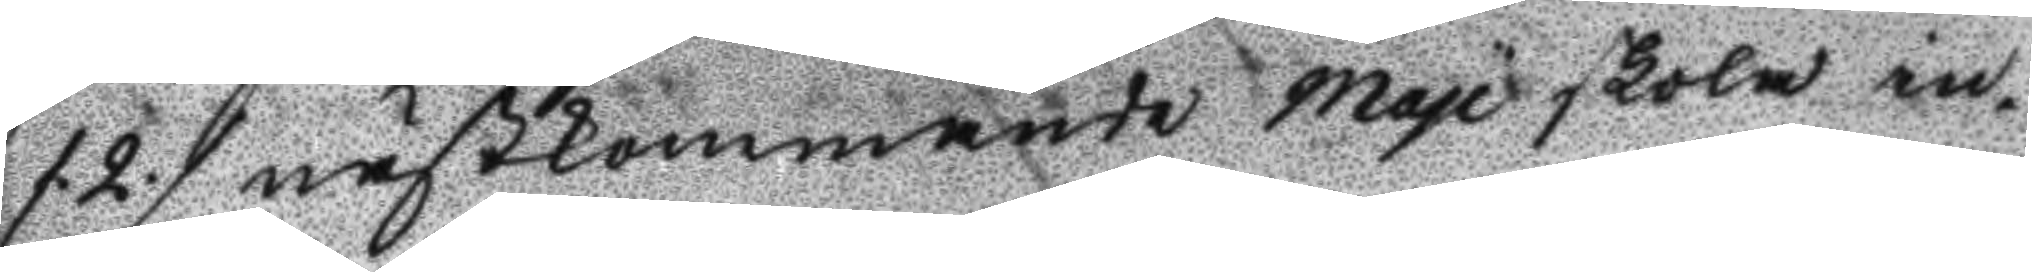/2/ nästkommande Maji skola in¬
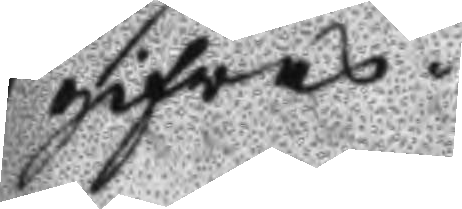gifvas.
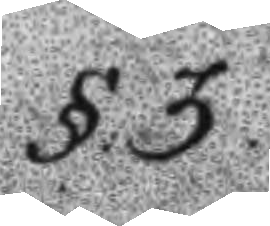§.3.
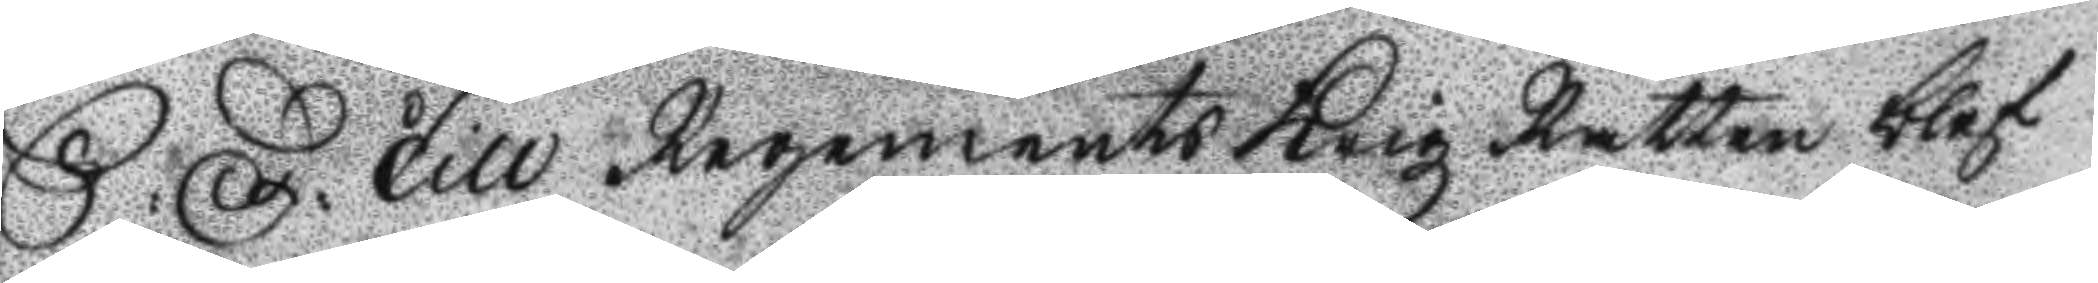S: D: Till Regements Krigz Rätten blef
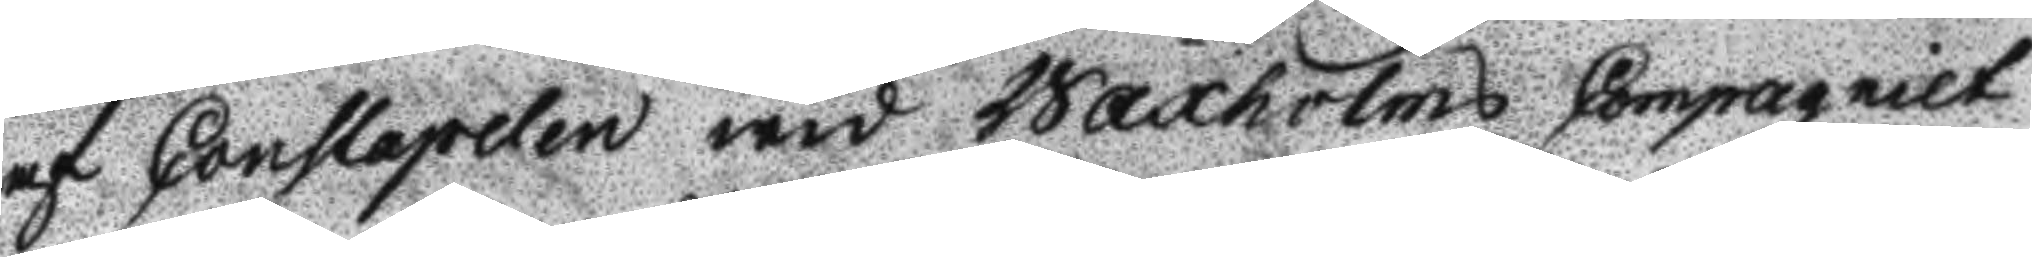af Constapelen wid Waxholms Compagniet
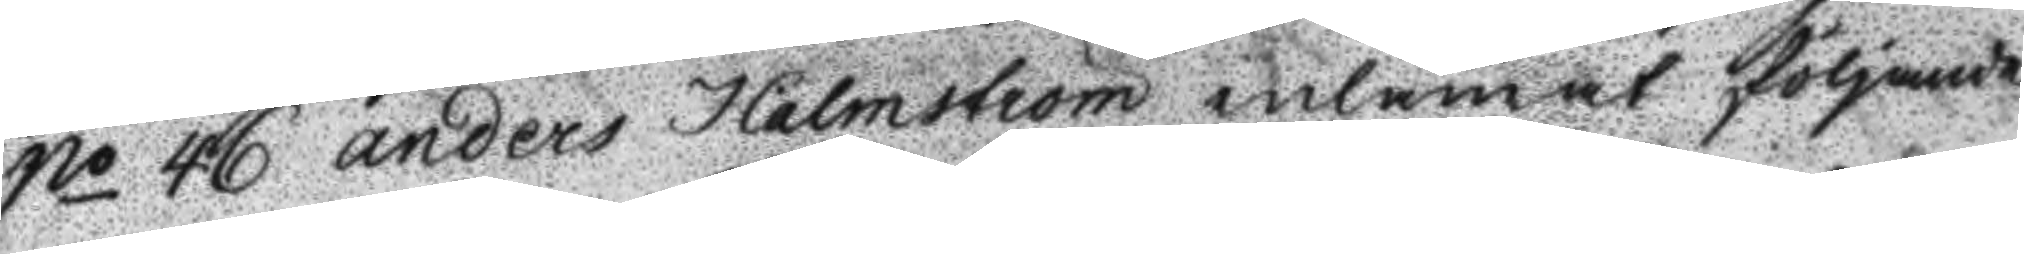No 46 Anders Holmström inlämnat följande
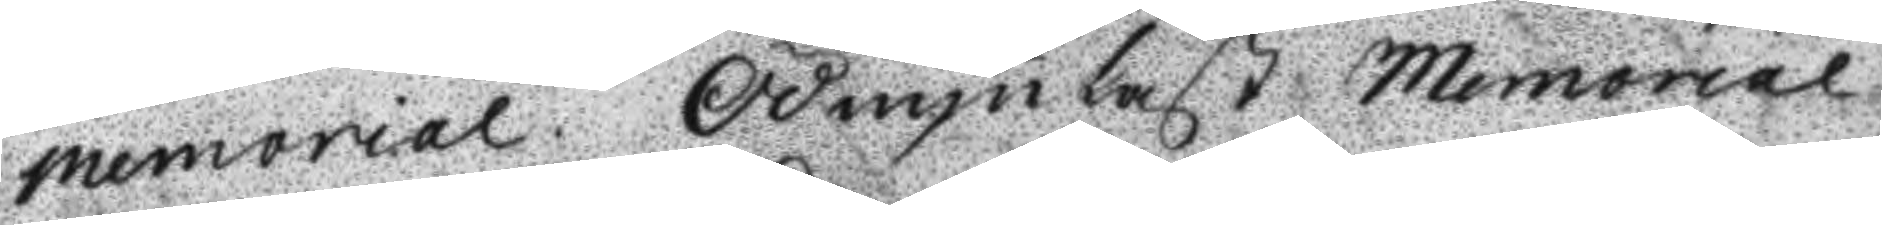memorial. Ödmjukast Memorial
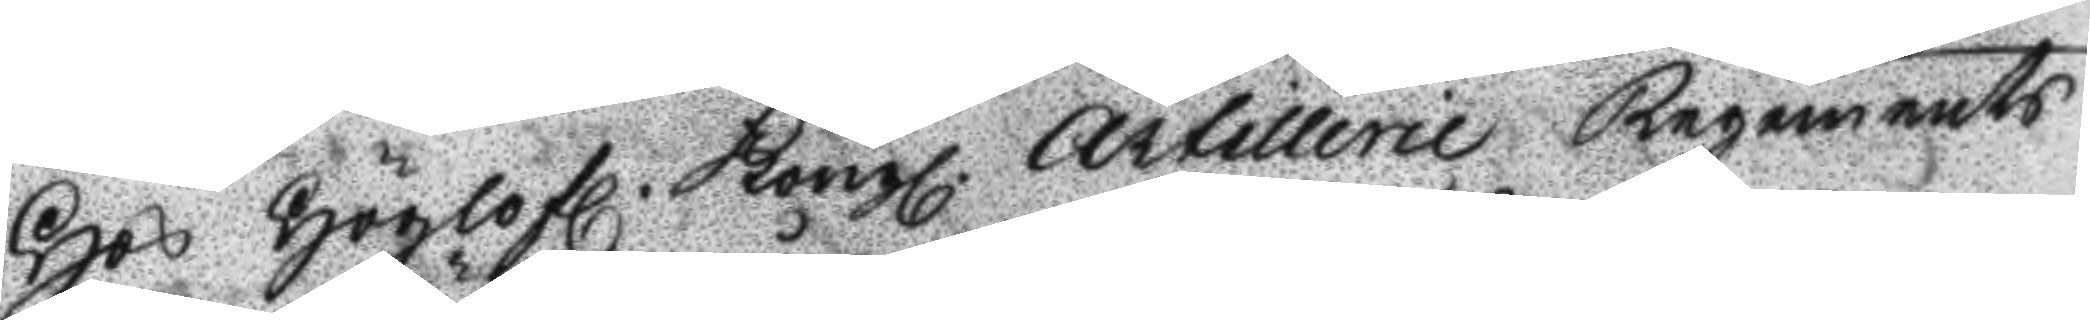Hos Höglofl. Kongl. Artillerie Regements
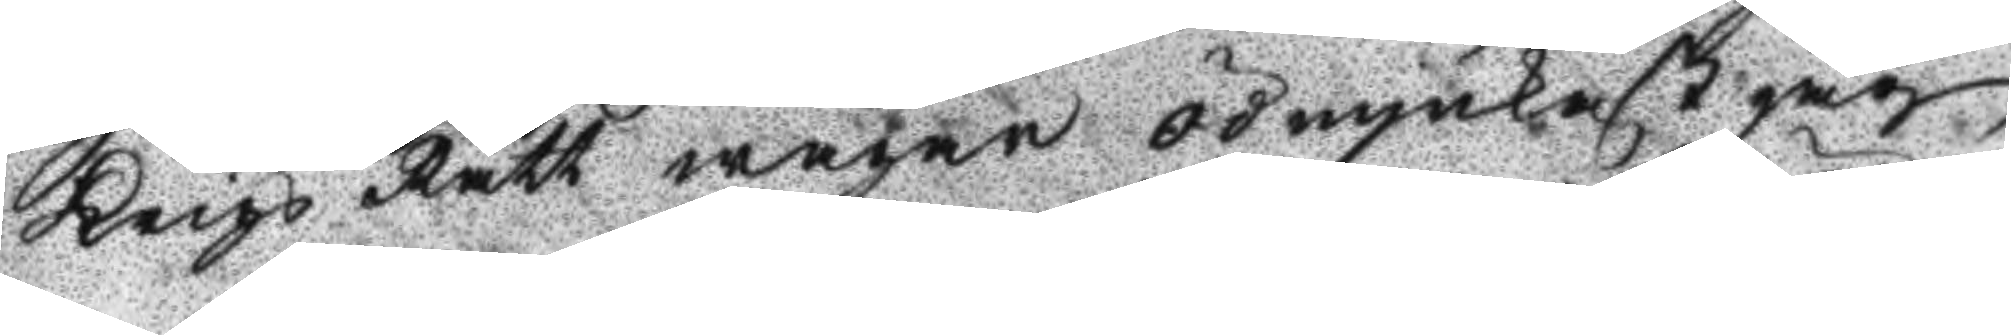Krigz Rätt wågar ödmjukast jag
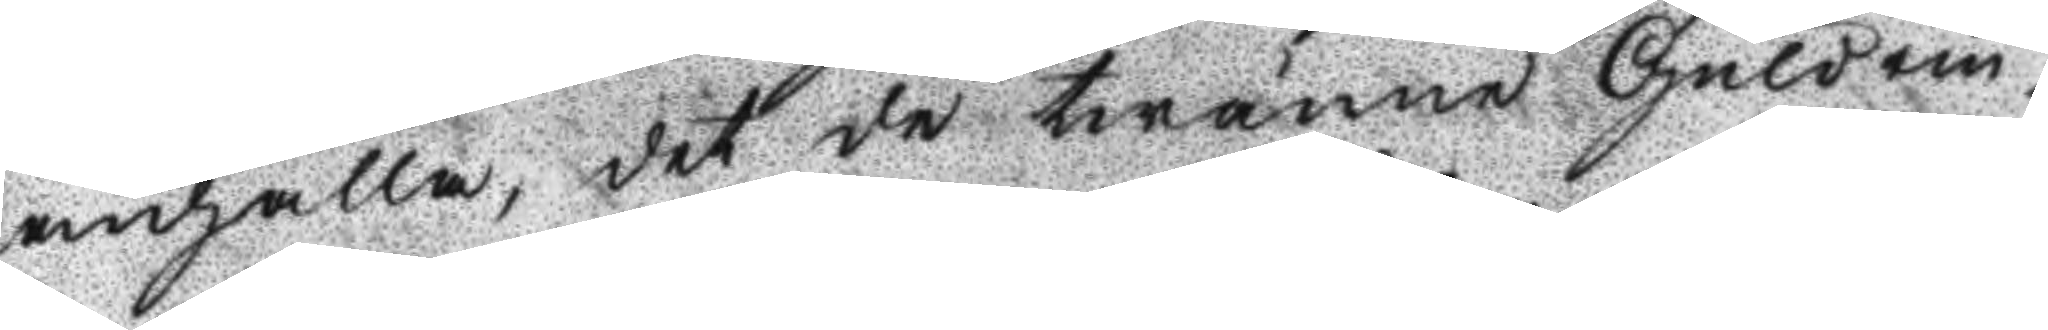anhålla, det de twänne Guldrin¬
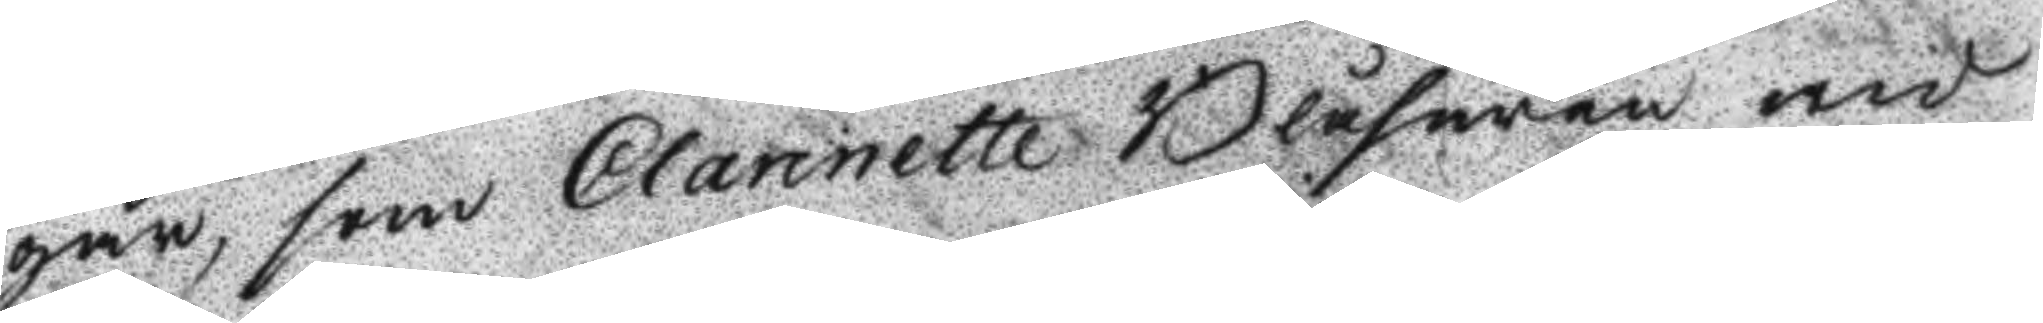gar, som Clarinette Blåsaren wid
